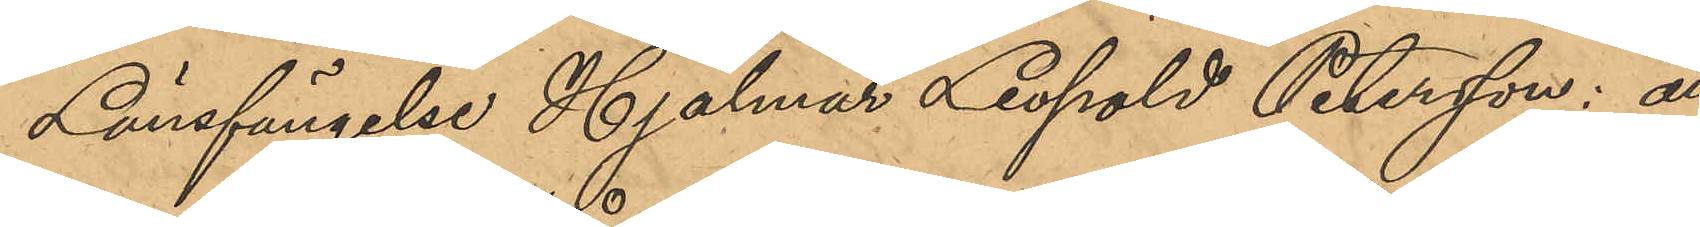Länsfängelse Hjalmar Leopold Petersson: att
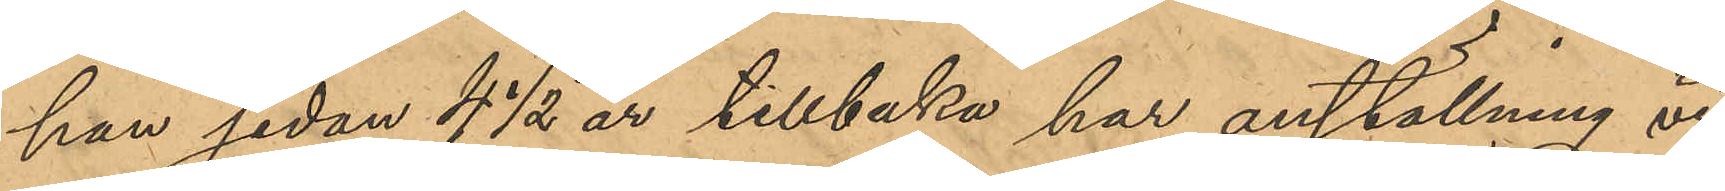han sedan 4 ½ år tillbaka har anställning vid
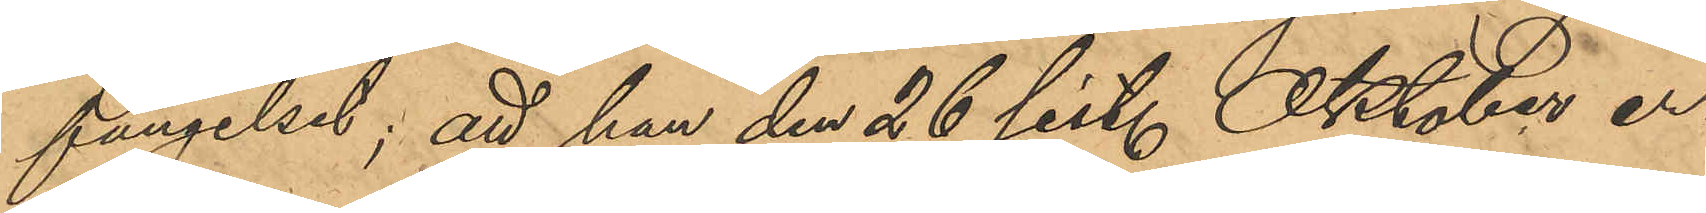fängelset; att han den 26 sist. Oktober er¬
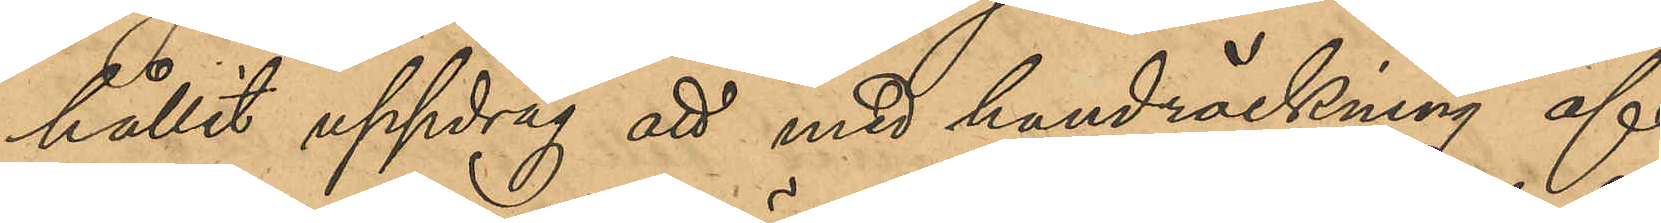hållit uppdrag att med handräckning af
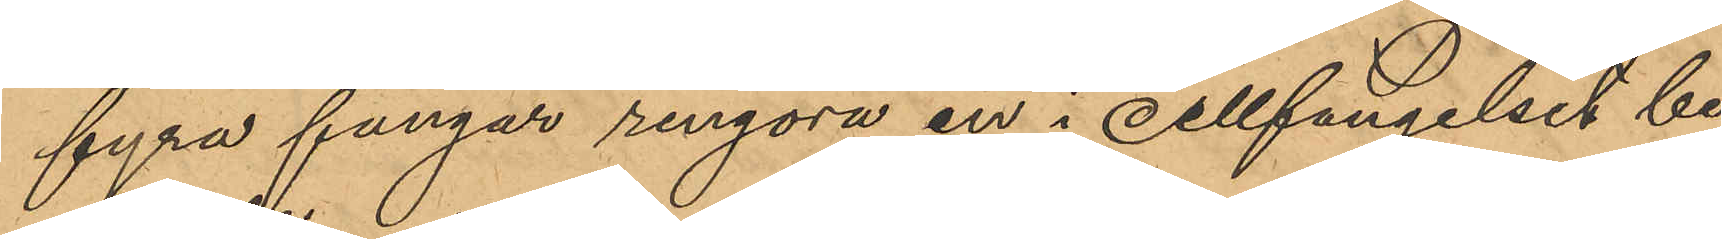fyra fångar rengöra en i Cellfängelset be¬
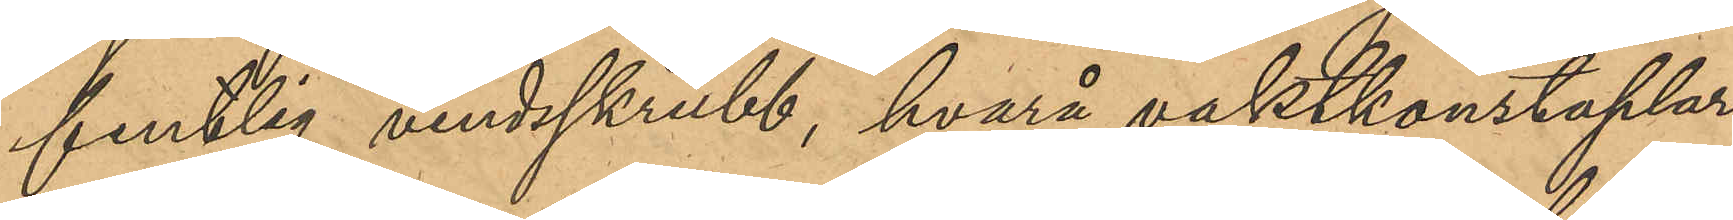fintlig vindsskrubb, hvarå vaktkonstaplar¬
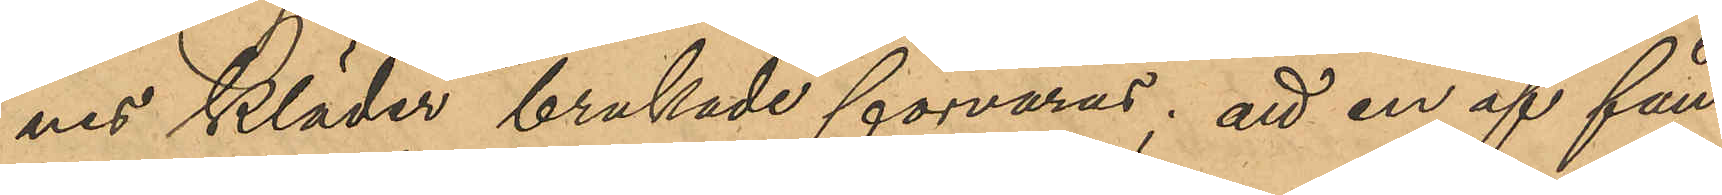nes kläder brukade förvaras; att en af fån¬
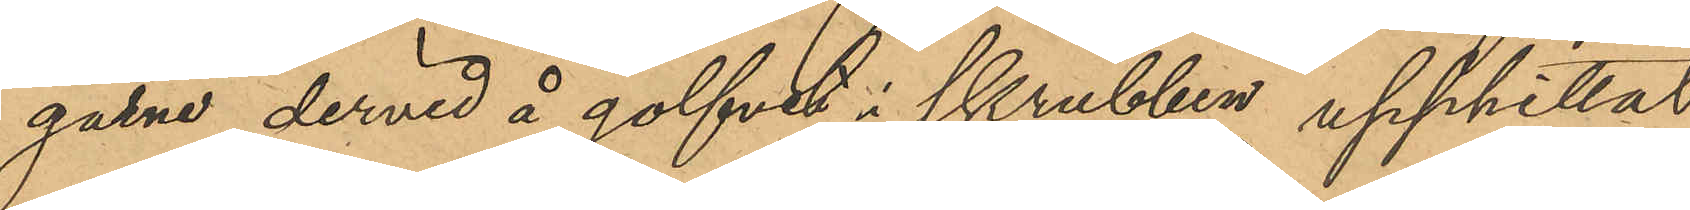garne dervid å golfvet i skrubben upphittat
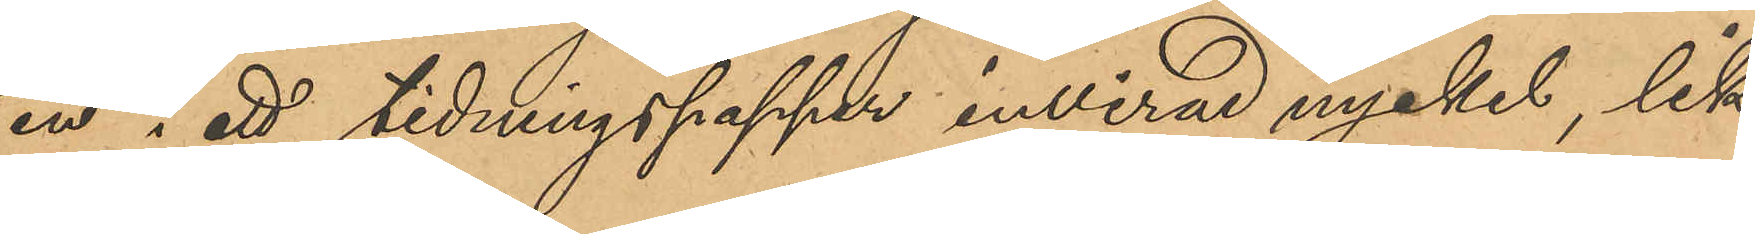en i ett tidningspapper invirad nyckel, lik¬
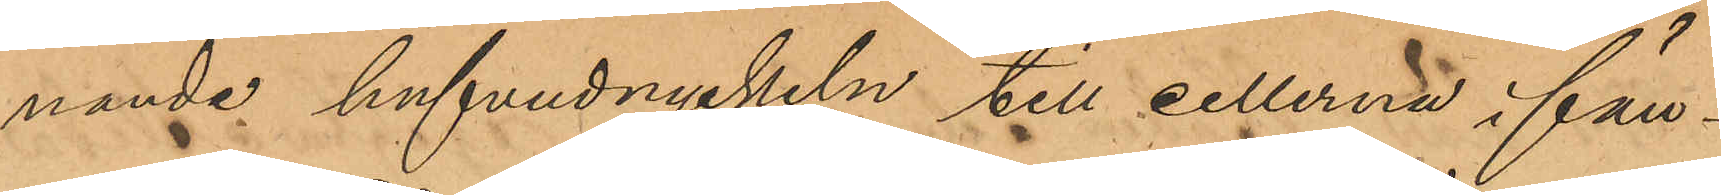nande hufvudnyckeln till cellerna i fäng¬
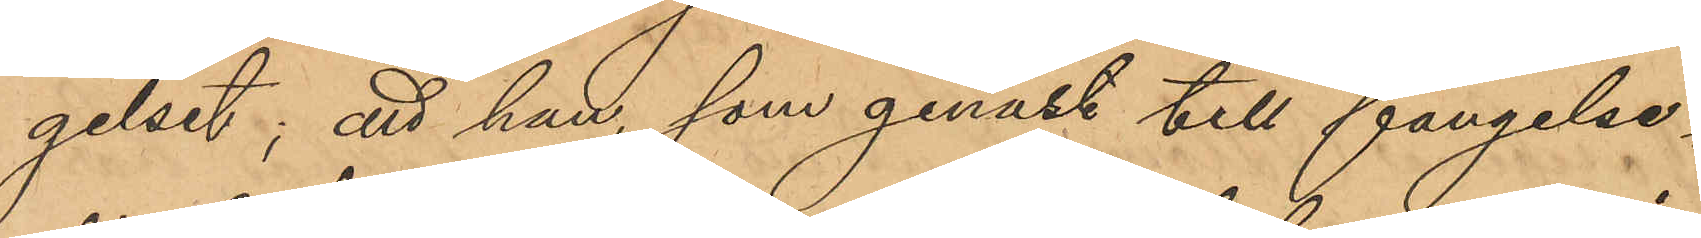gelset; att han, som genast till fängelse¬
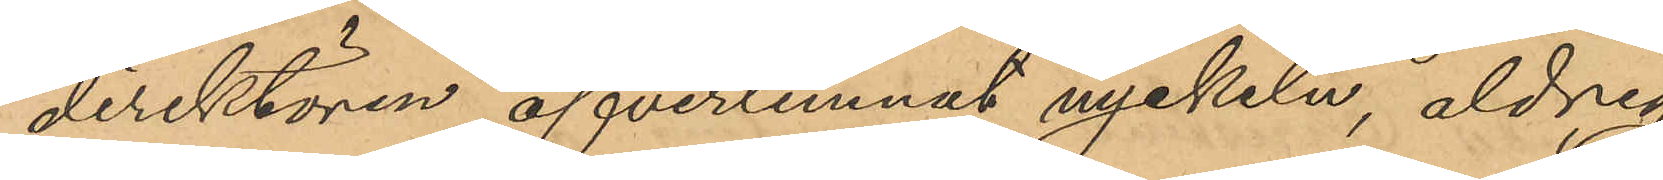direktören öfverlemnat nyckeln, aldrig
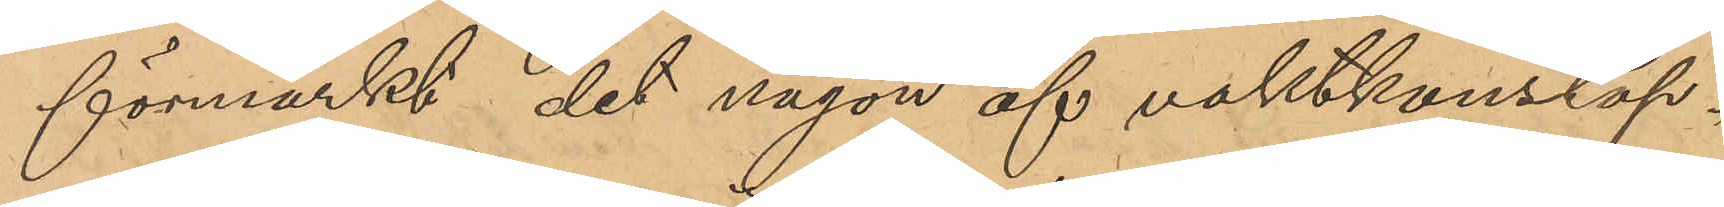förmärkt det någon af vaktkonstap¬
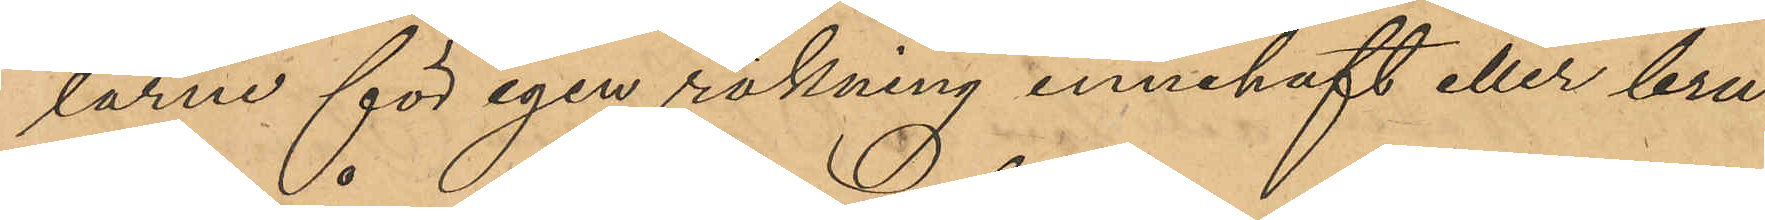larne för egen räkning innehaft eller bru¬
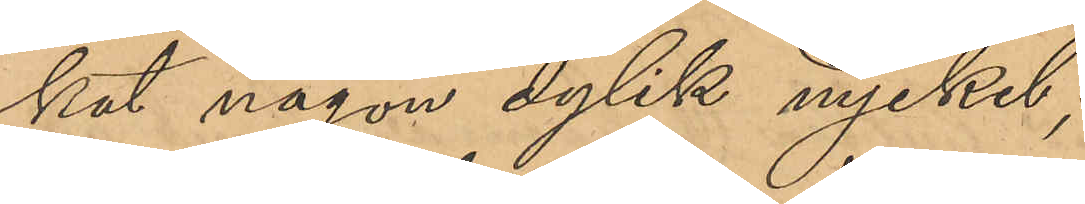kat någon dylik nyckel;
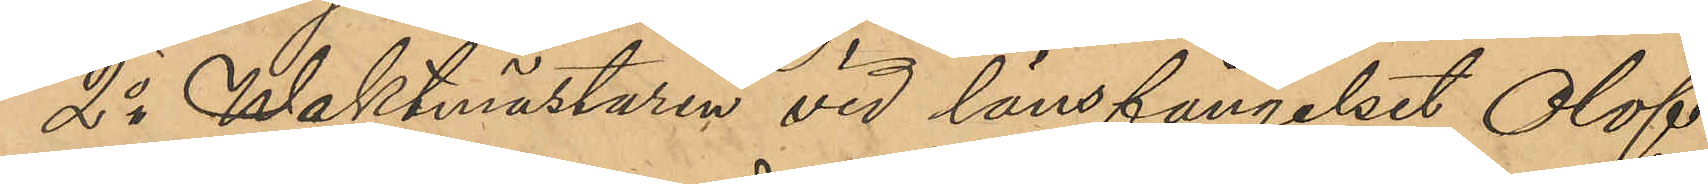2o Waktmästaren vid länsfängelset Olof
